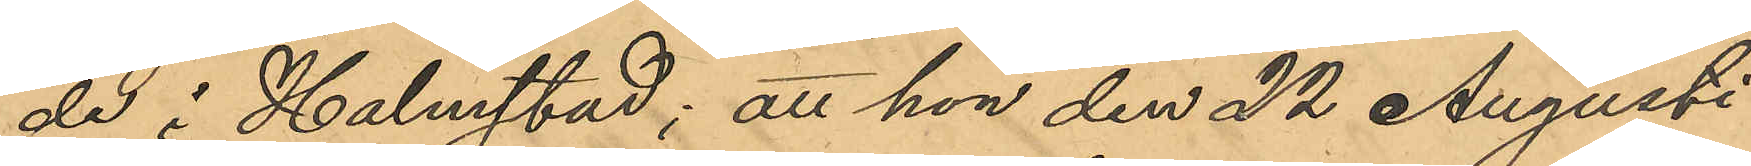de i Halmstad; att hon den 22 Augusti
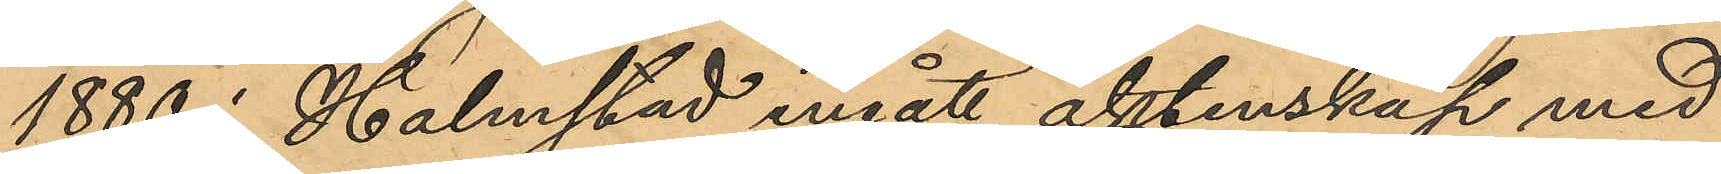1880 i Halmstad ingått äktenskap med
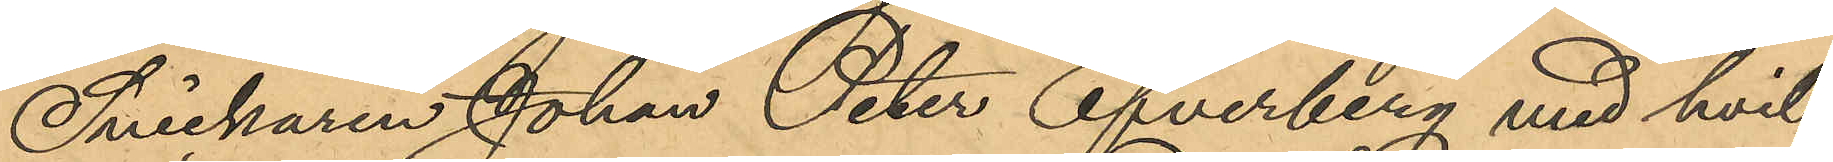Snickaren Johan Peter Efverberg med hvil¬
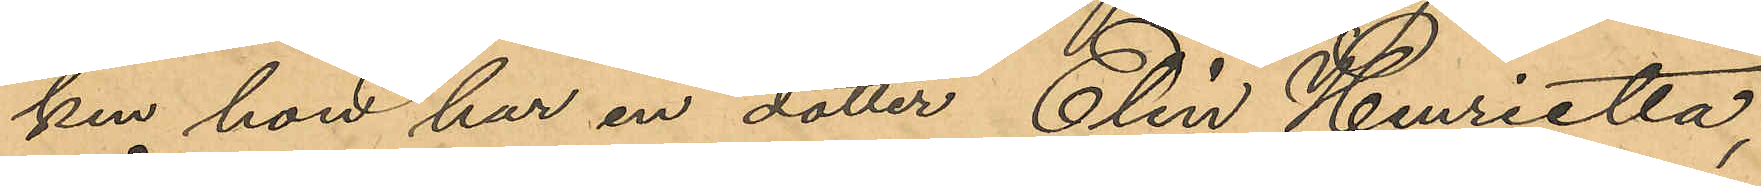ken hon har en dotter Elin Henrietta,
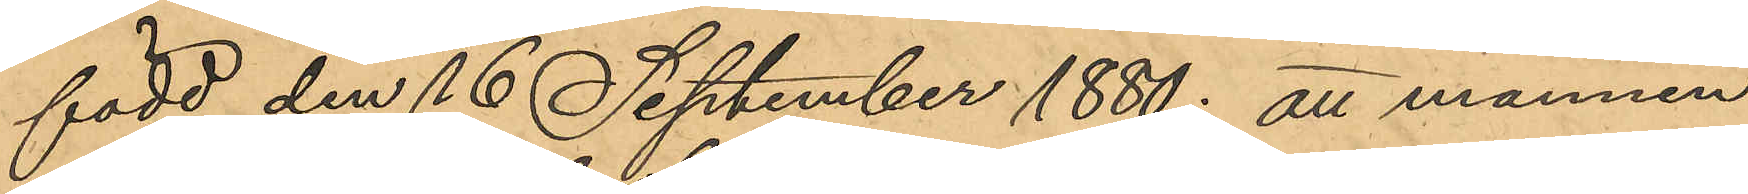född den 16 September 1880; att mannen
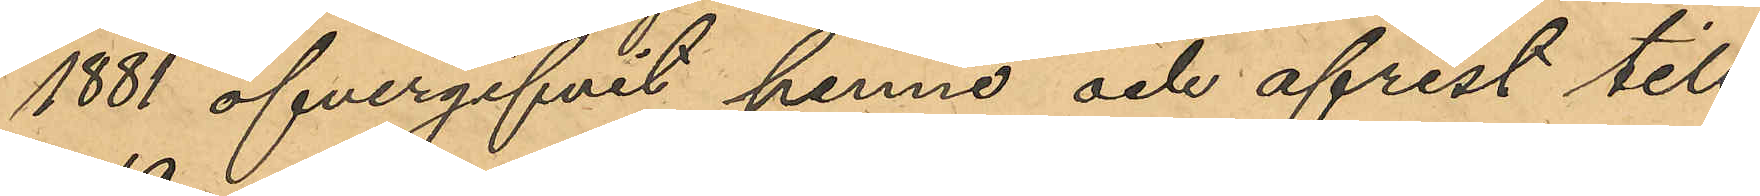1881 öfvergifvit henne och afrest till
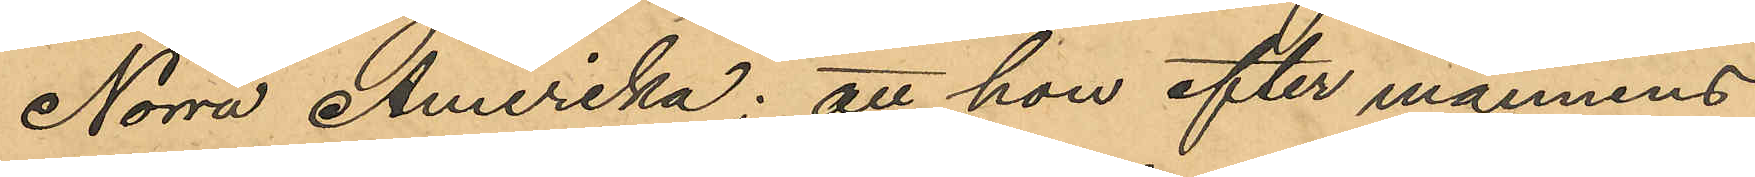Norra Amerika; att hon efter mannens
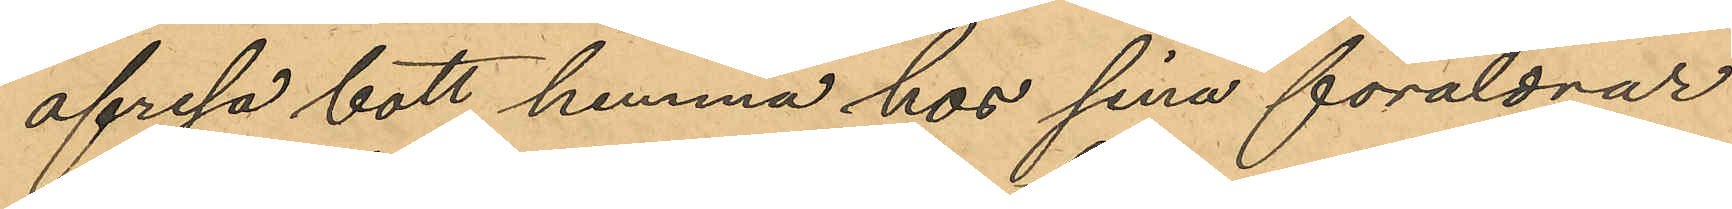afresa bott hemma hos sina föräldrar
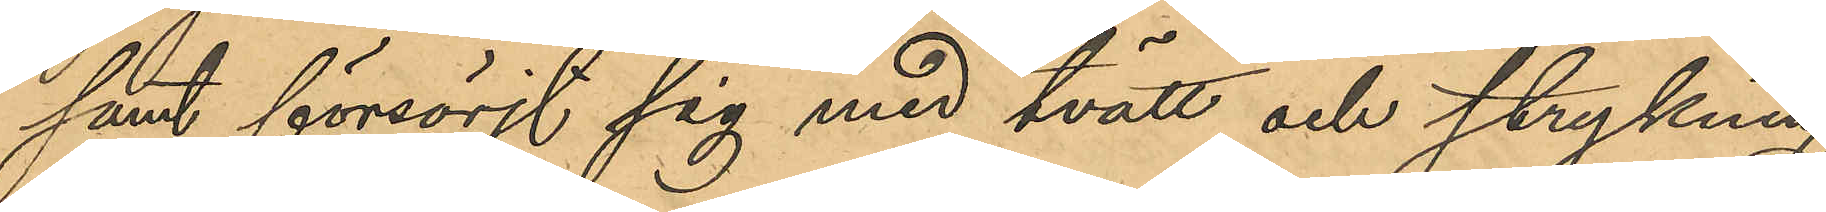samt försörjt sig med tvätt och strykning;
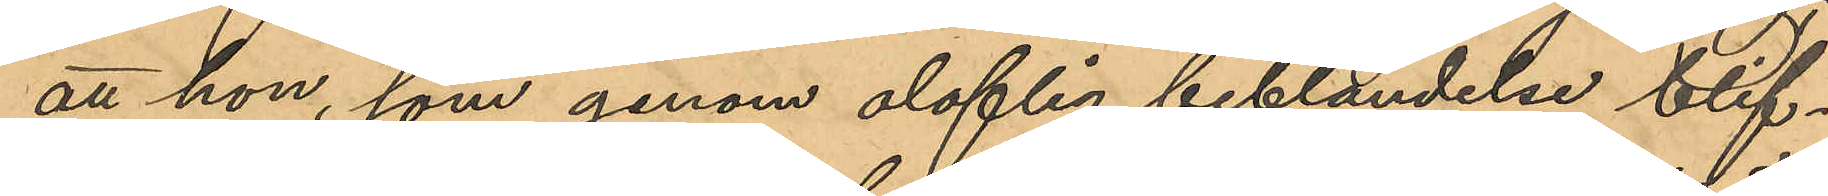att hon, som genom oloflig beblandelse blif¬
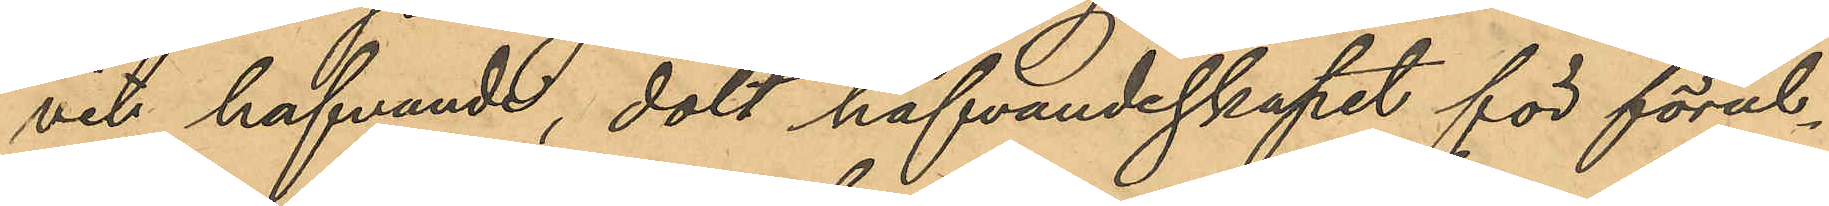vit hafvande, dolt hafvandeskapet för föräl¬
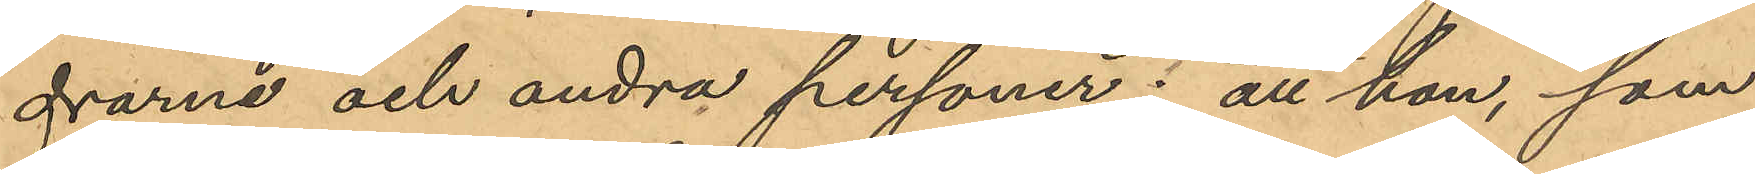drarne och andra personer; att hon, som
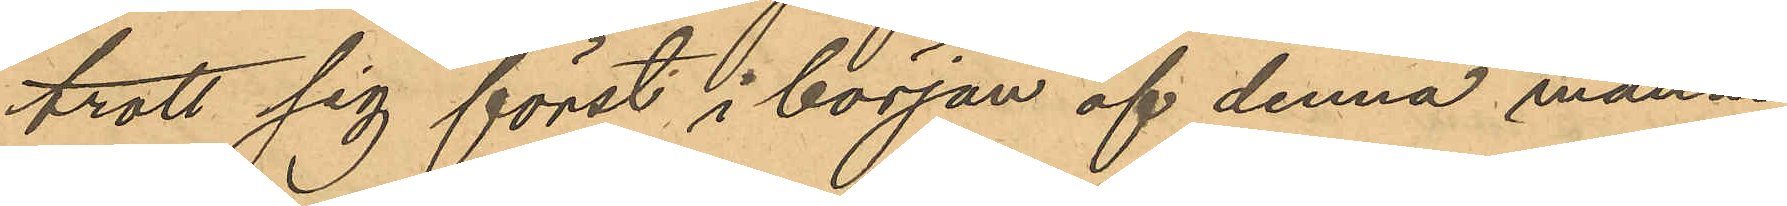trott sig först i början af denna månad
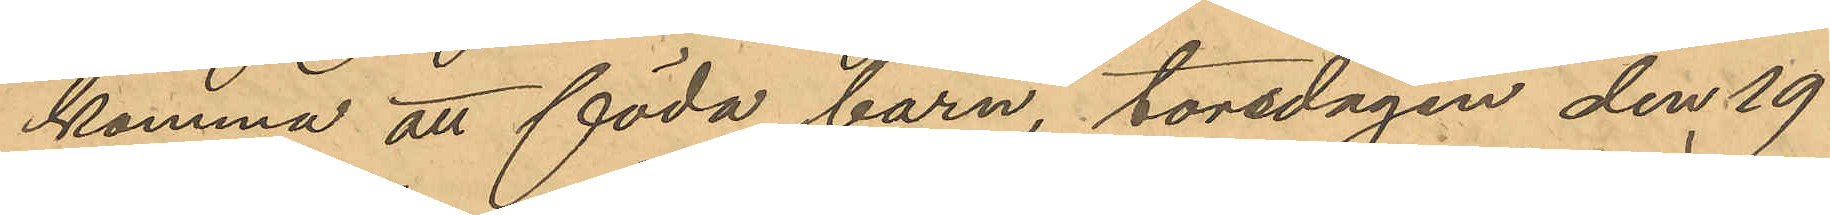komma att föda barn, torsdagen den 19
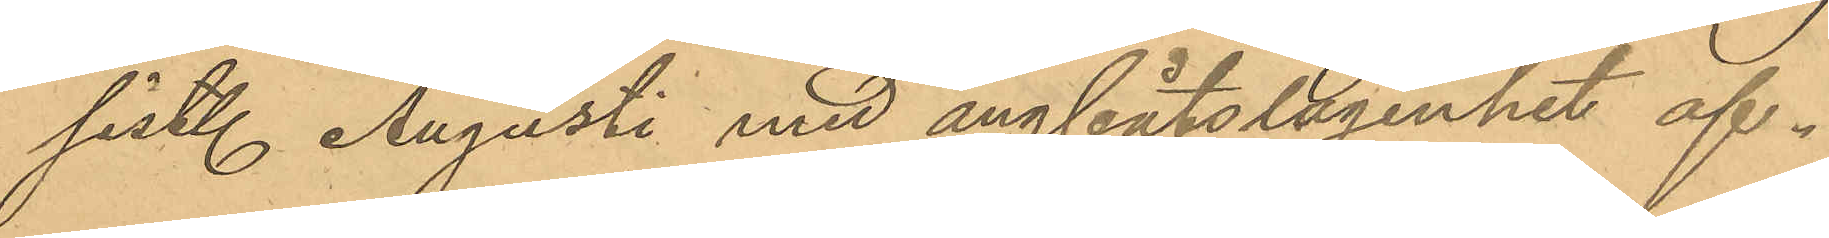sist. Augusti med ångbåtslägenhet af¬
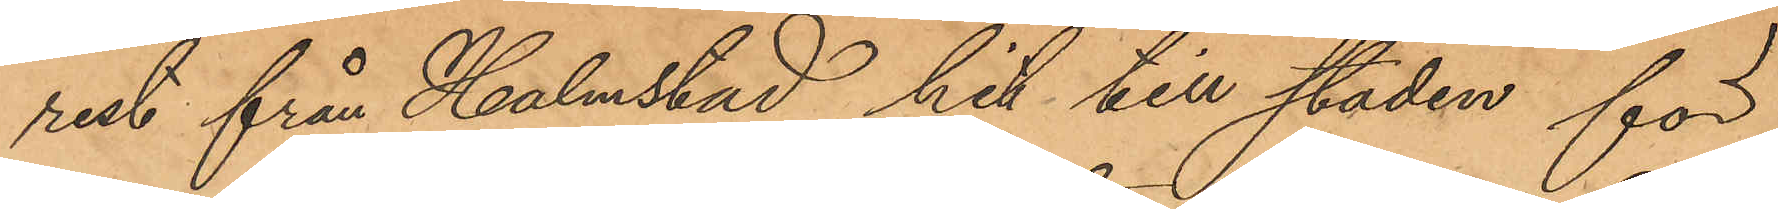rest från Halmstad hit till staden för
